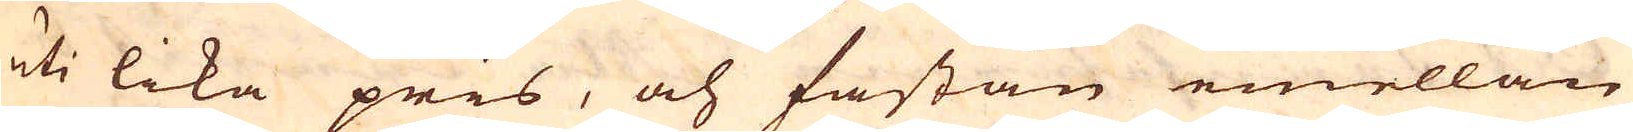uti lika pris, och fastän emellan
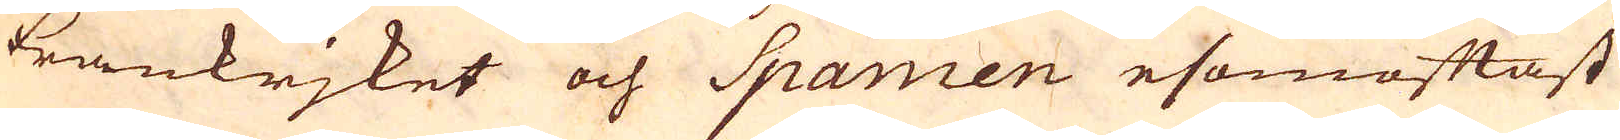Frankrjket och Spanien esomoftast
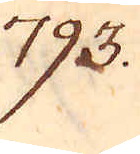793.
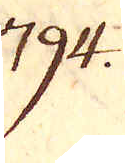794.
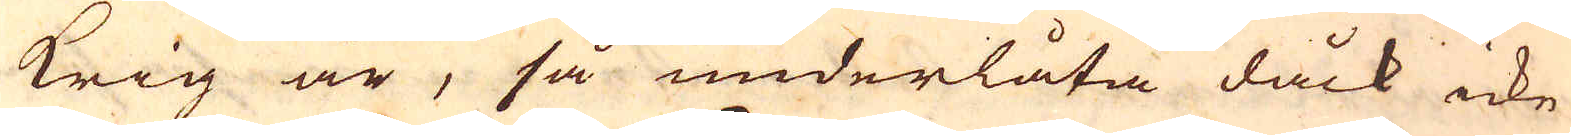krig är, så underlåta dåck icke
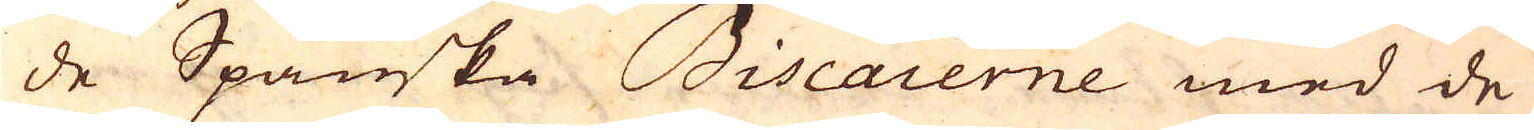de Spanska Biscaierne med de
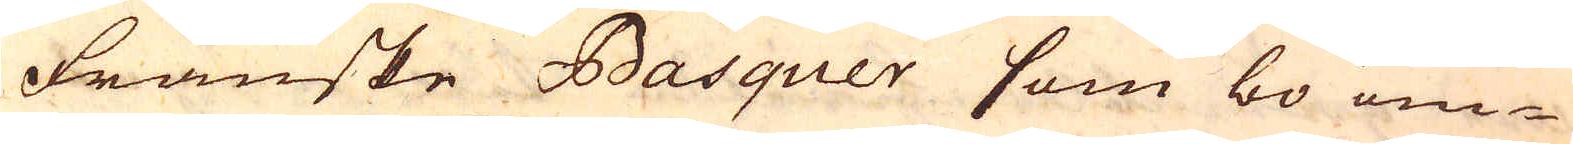Franske Basquer som bo om-
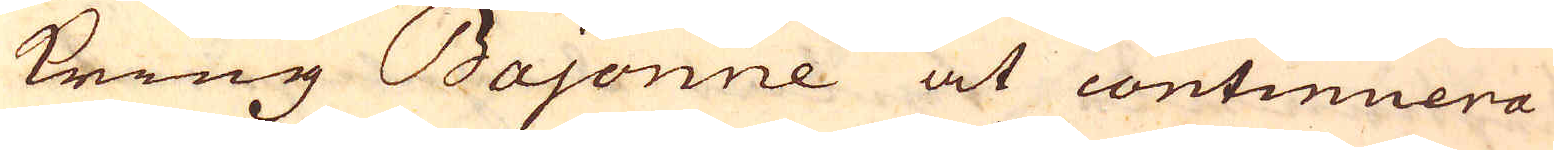kring Bajonne at continuera
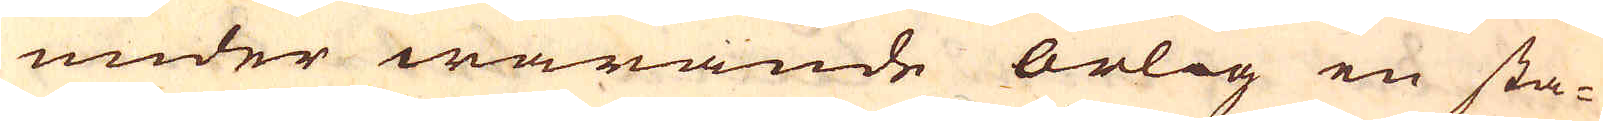under warande örlog en sta-
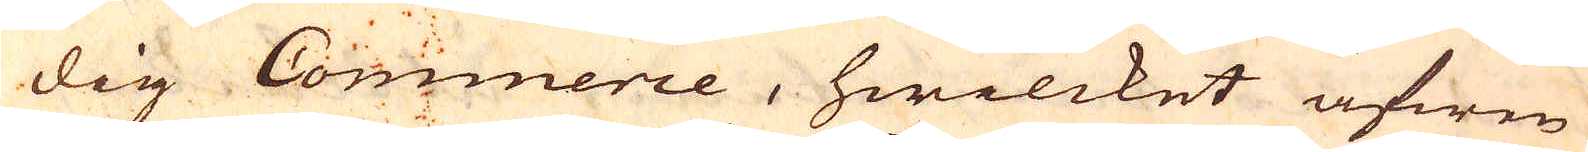dig Commerce, hwilcket äfwen
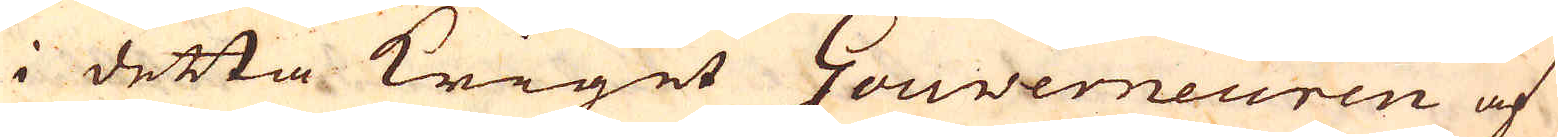i detta kriget Gouverneuren af
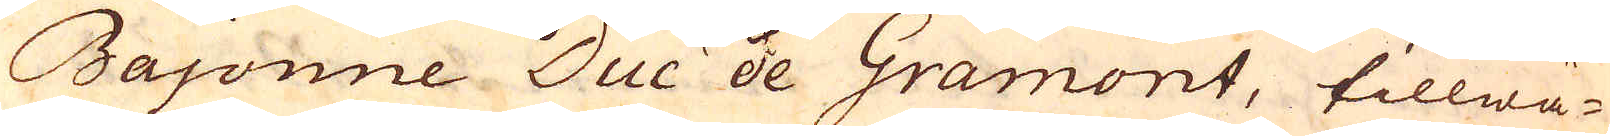Bajonne Duc de Gramont, tillwä-
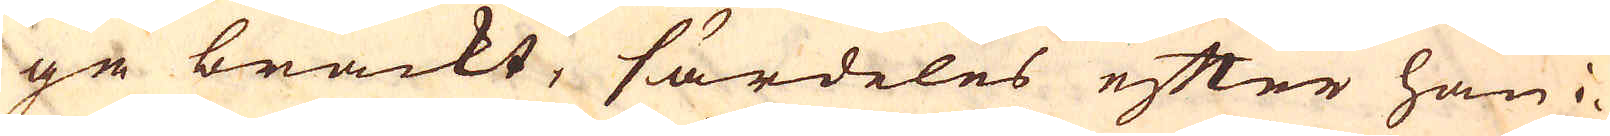ga brackt, särdeles efter han i-
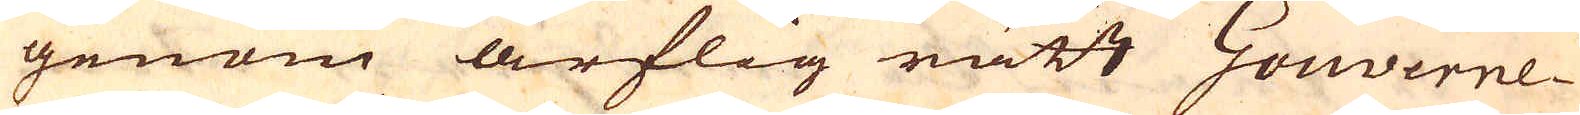genom arflig rätt Gouverne-
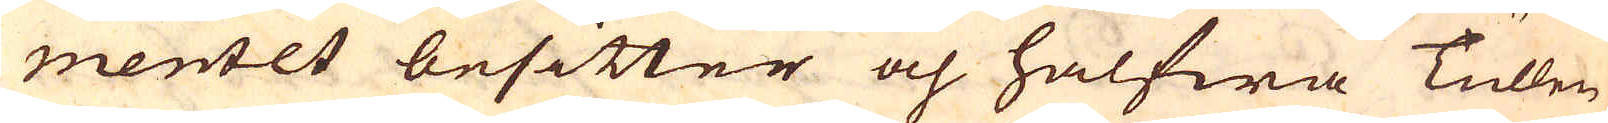mentet besitter och halfwa Tullen
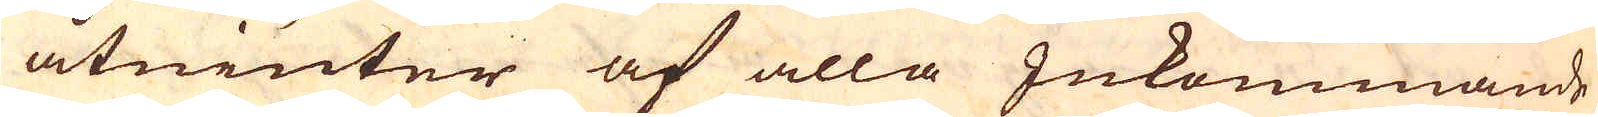åtniuter af alla Inkommande
